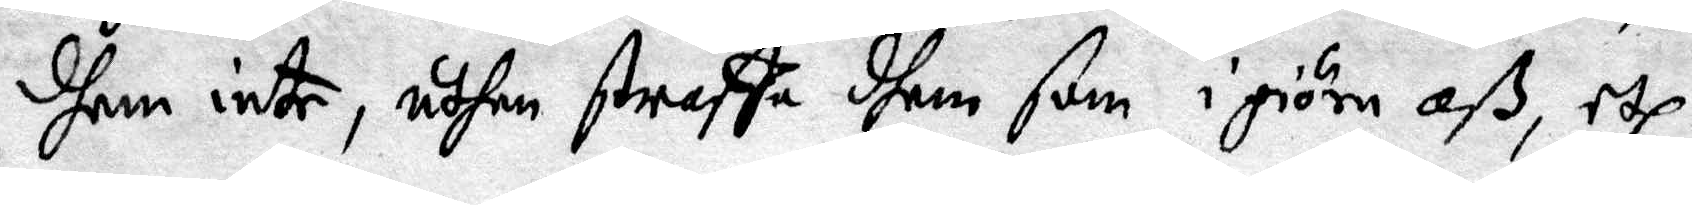dhem inte, uthan straffa dhem som i giöra oß, etc.
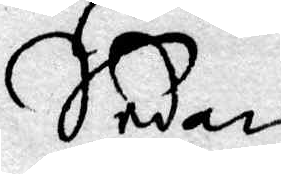Sedan
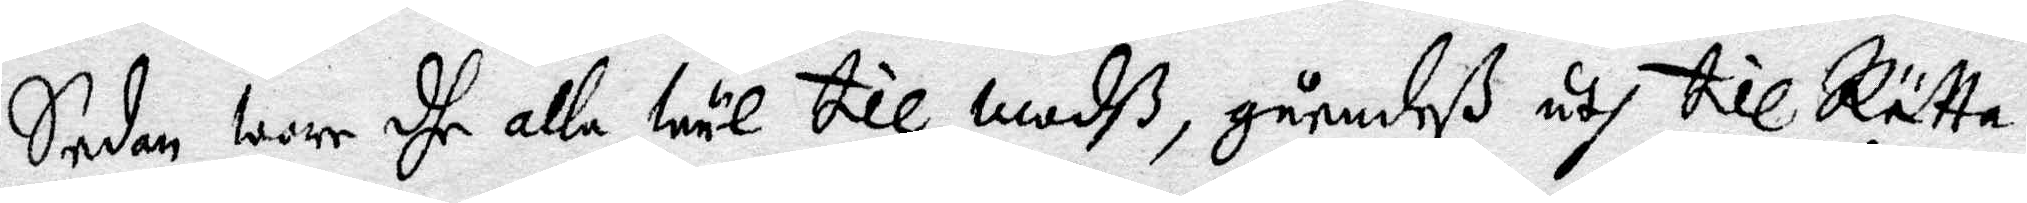Sedan warr dhe alle wäl till modß, gåendeß uth till Rätta¬
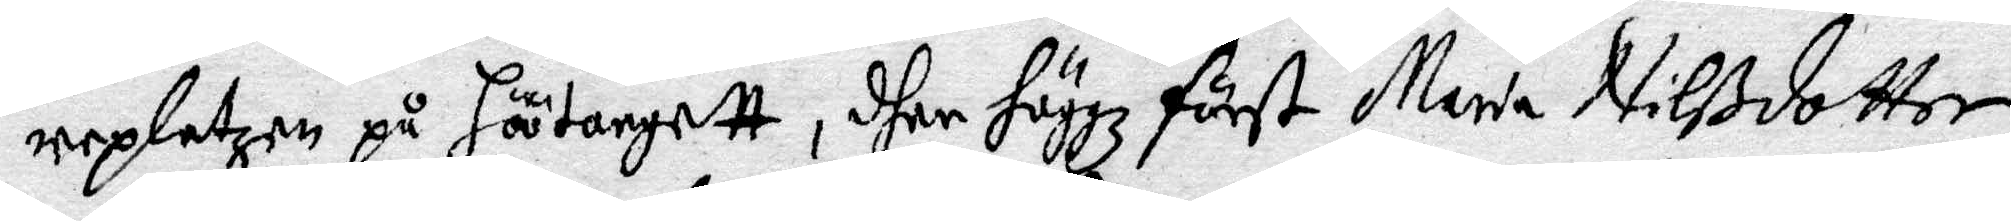replatzen på höötorgett, dher höggz först Maria Nilßdotter
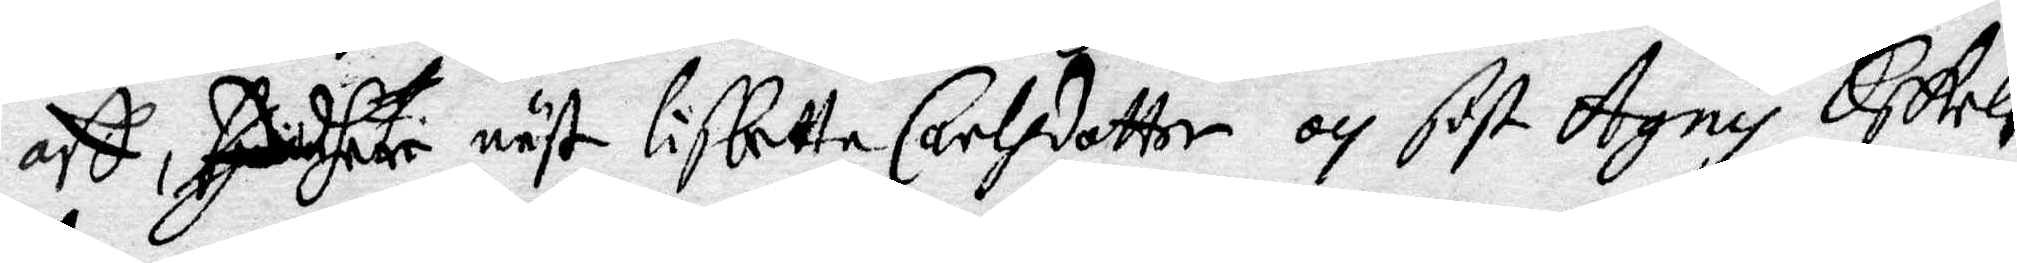aff, ser näst Lisbetta Carlsdotter och sist Agnis Eskils¬
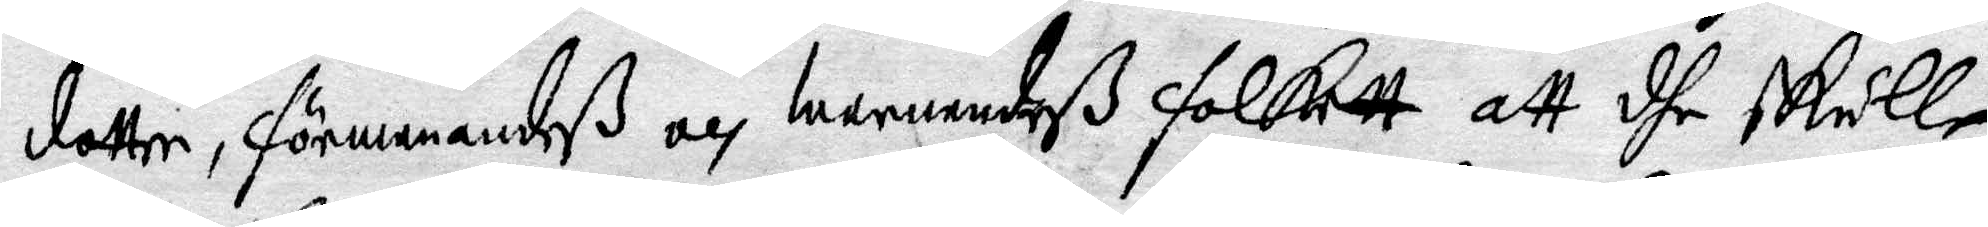dotter, förmanandeß och warnandeß folkett att dhe skulle
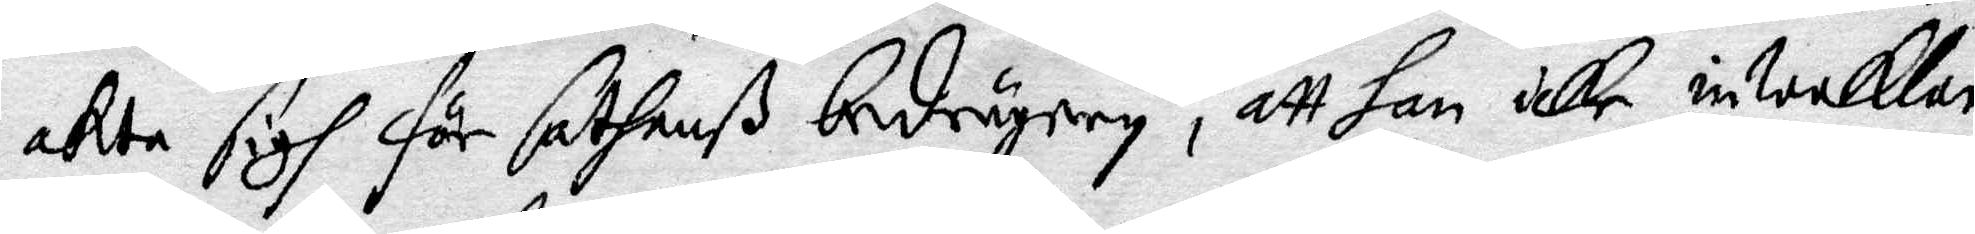akta sigh för sathanß bedrägery, att han icke inweklar
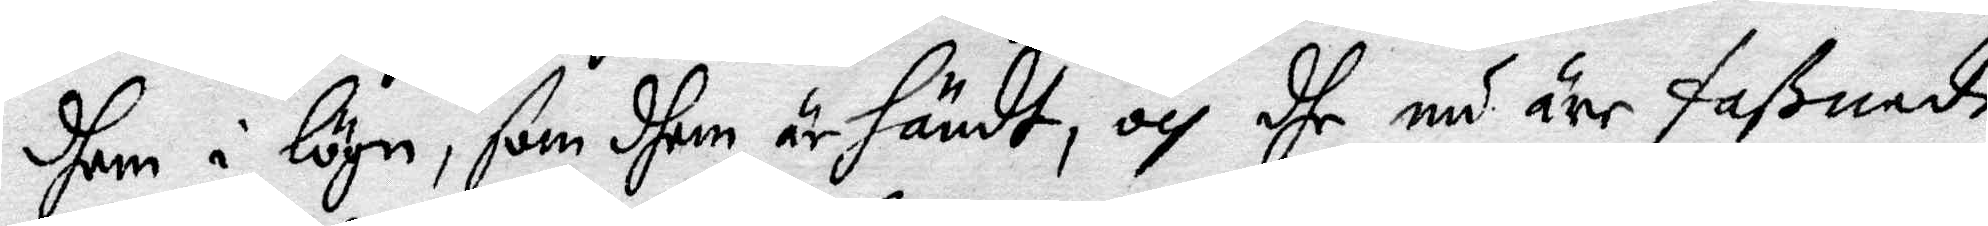dhem i lögn, som shem är händt, och dhe nu äre faßnade
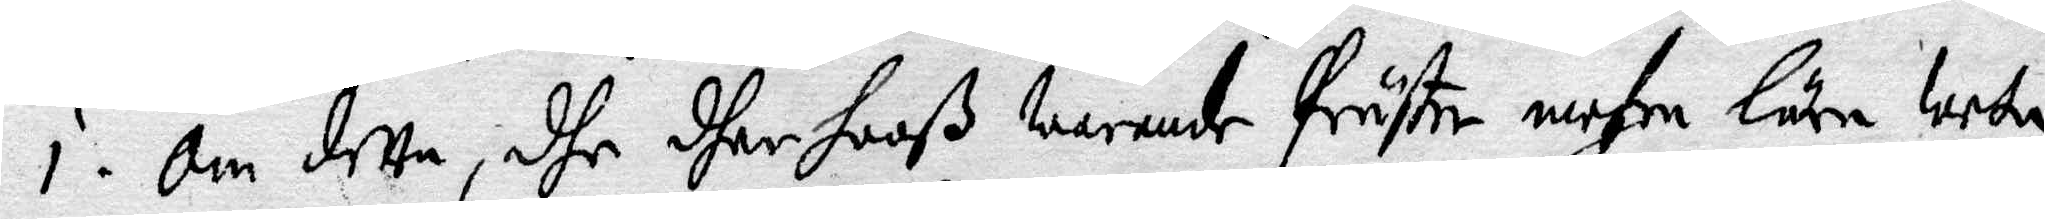i. Om detta, dhe dher hooß warande präster mehre läre weta
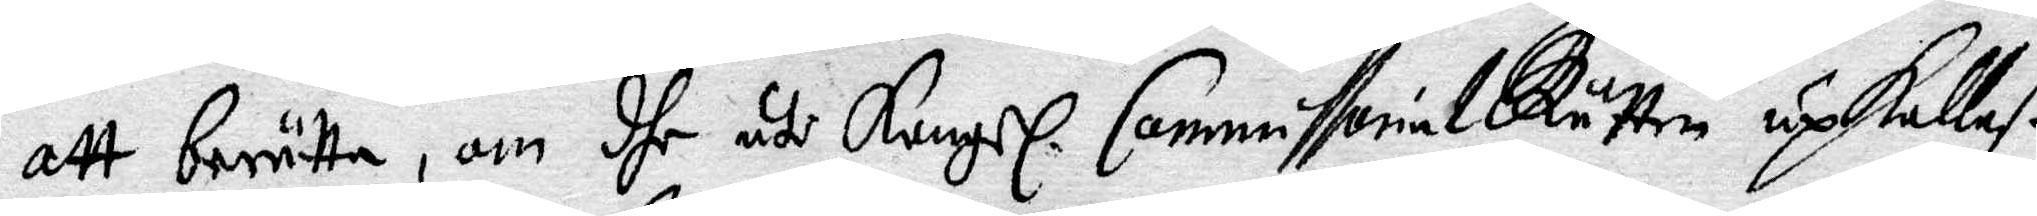att berätta, om dhe uti Kungl. CommissorialRätten upkallaß
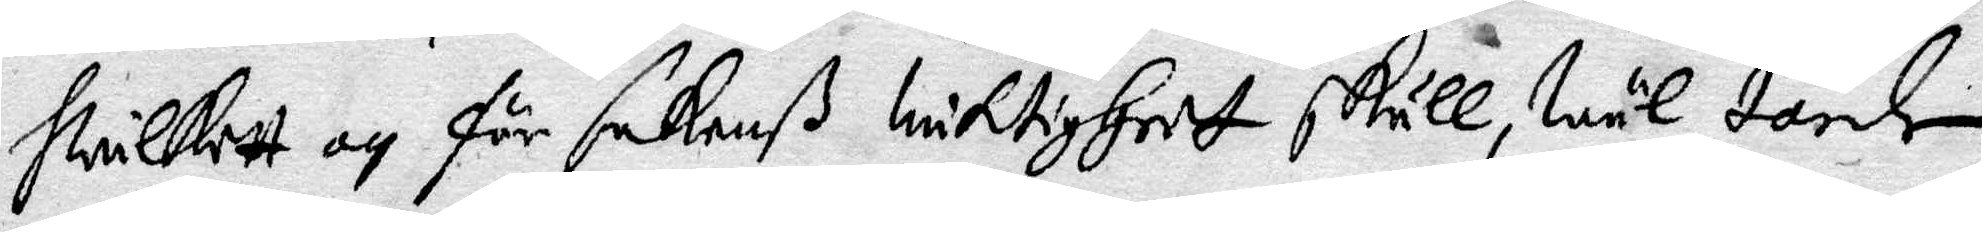hwilket och för sakenß wiktigheet skull, wäl torde
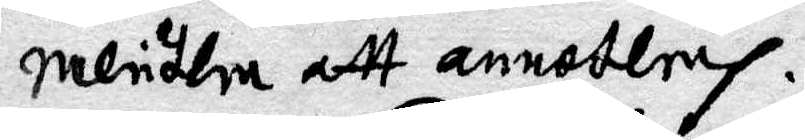meritlea att annoterah.
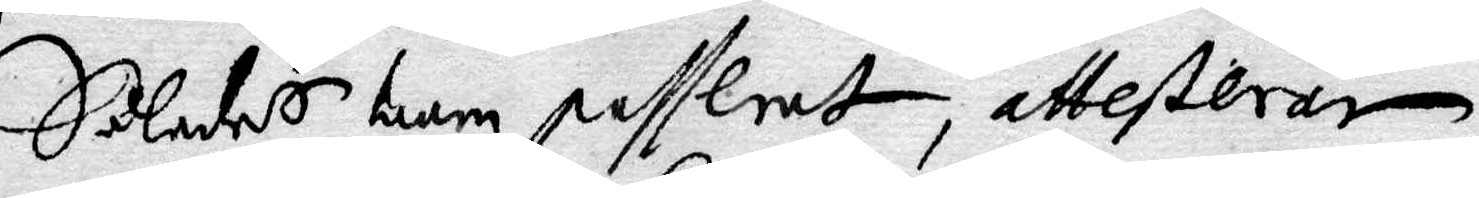Således ware passerat, attesteras
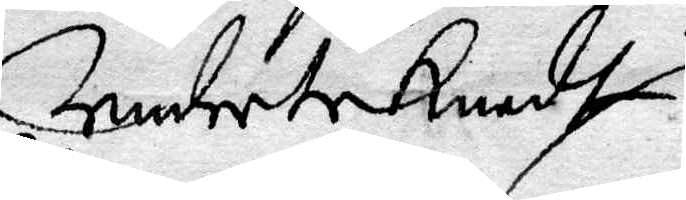Underteknadt
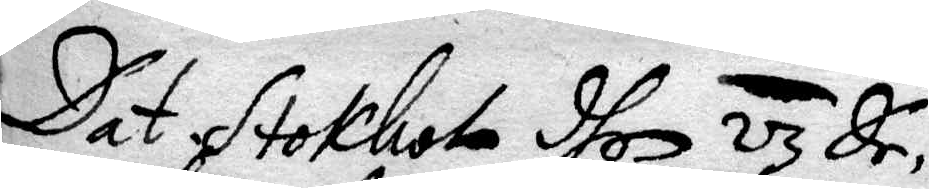Dat Stockholm dhen 23 De¬
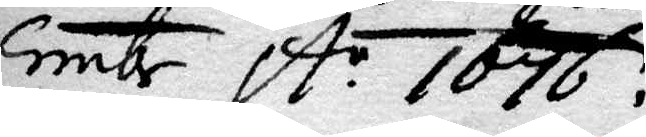cembr A: 1676.
